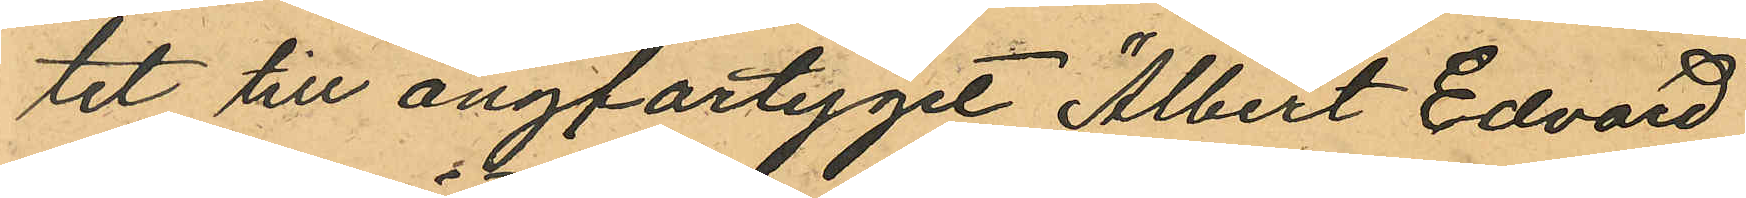tet till ångfartyget "Albert Edvard"
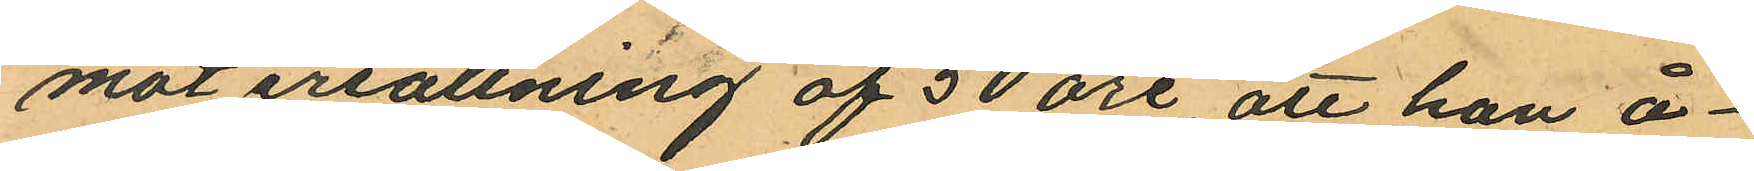mot ersättning af 50 öre, att han å¬
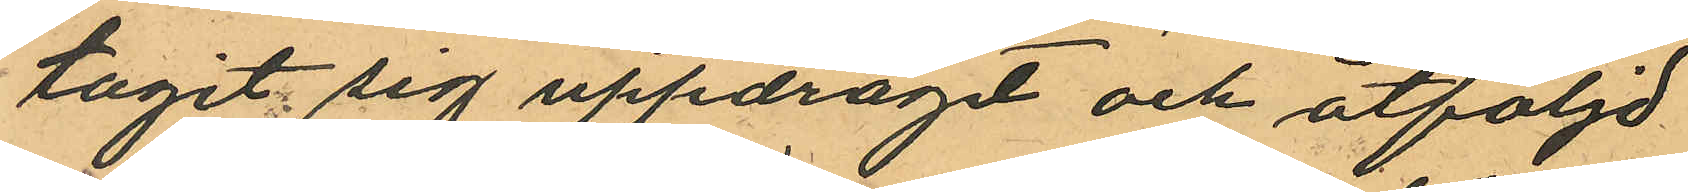tagit sig uppdragit och åtföljd
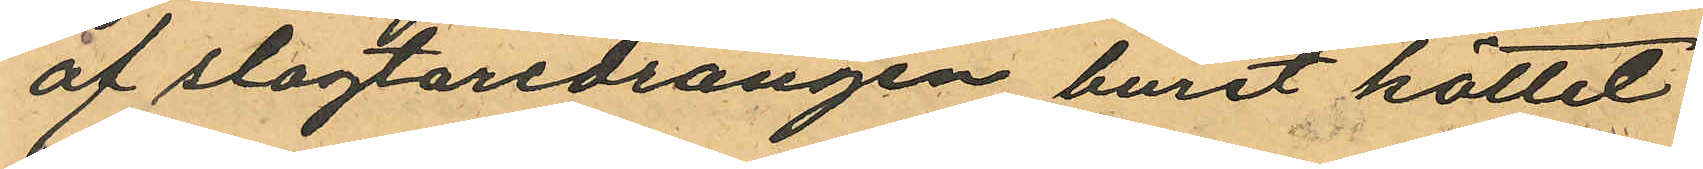af slagtaredrängen burit köttet
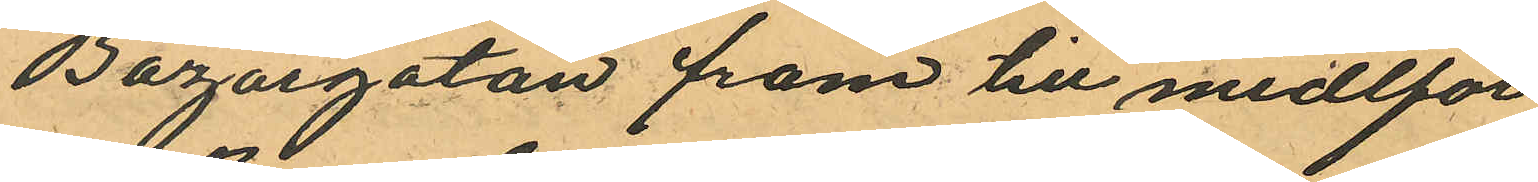Bazargatan fram till medtför
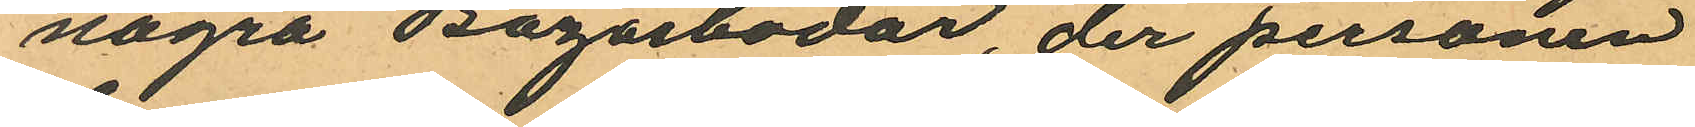några Bagarbodar, der personen
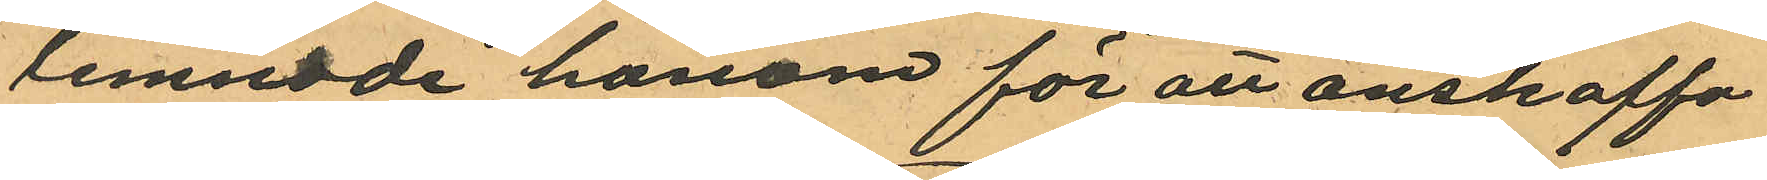lemnade honom för att anskaffa
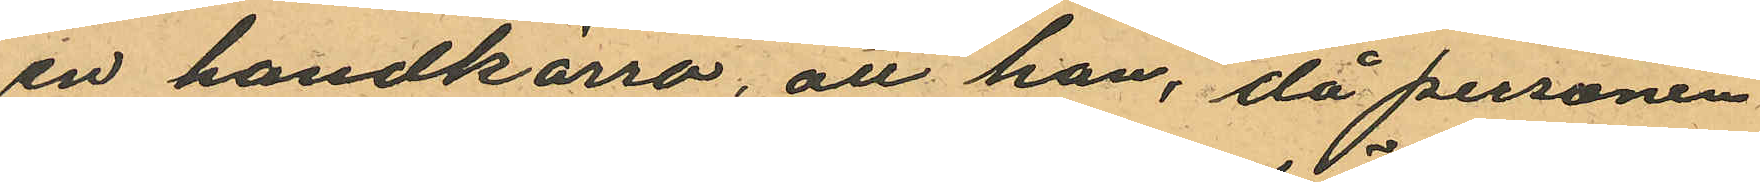en handkärra, att han, då personen
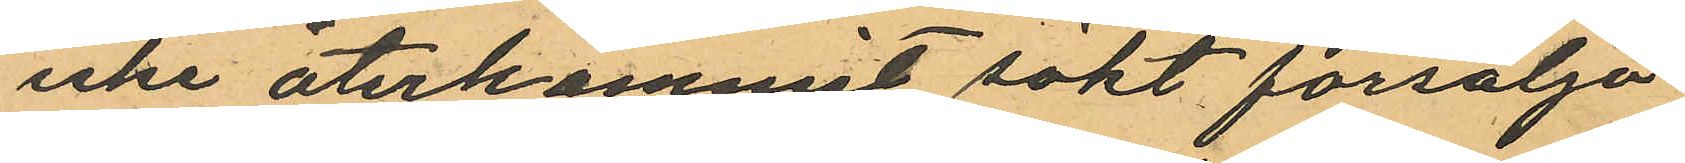icke återkommit sökt försälja
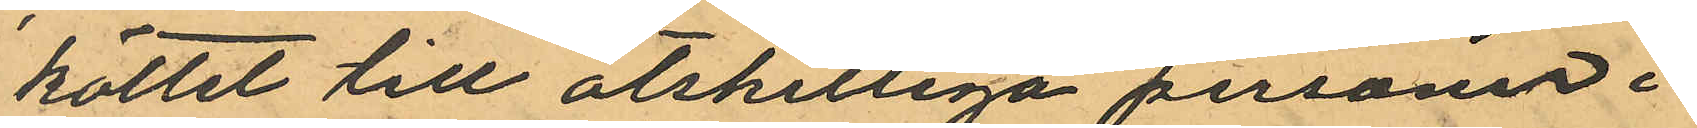köttet till åtskilliga personer i
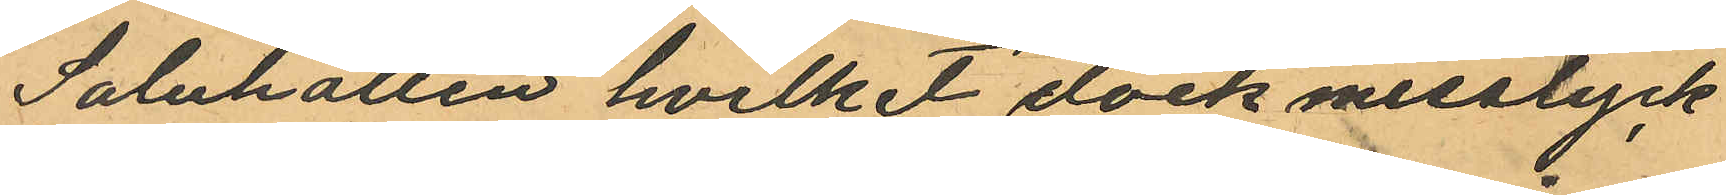Saluhallen hvilket dock misslyck
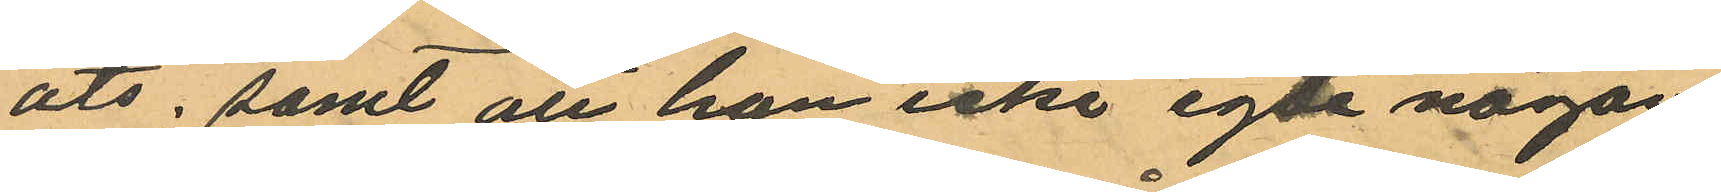ats; samt att han icke egde någon
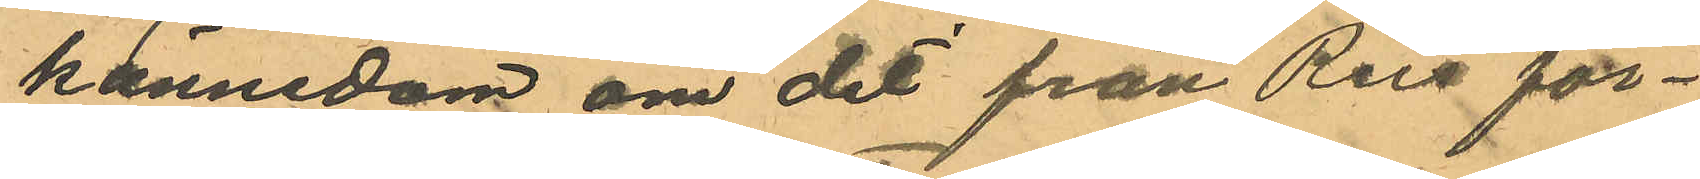kännedom om det från Reis för¬
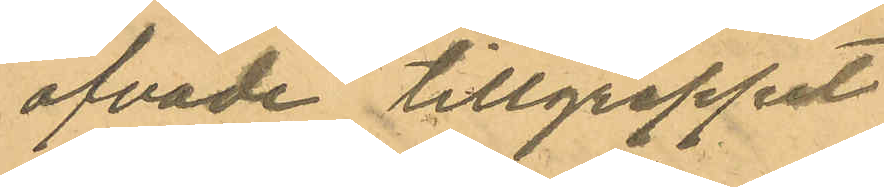öfvade tillgreppet.
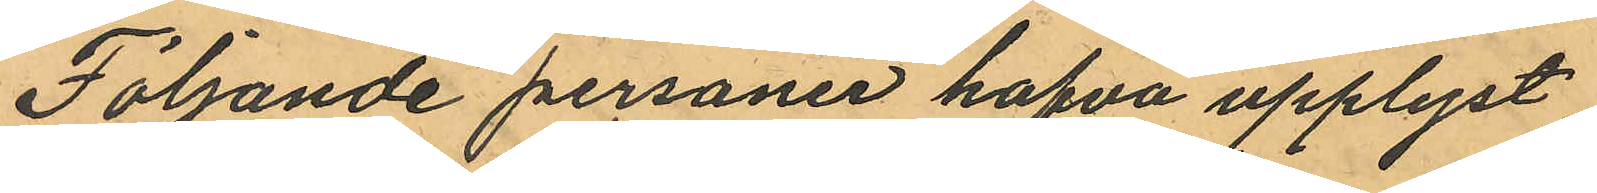Följande personer hafva upplyst
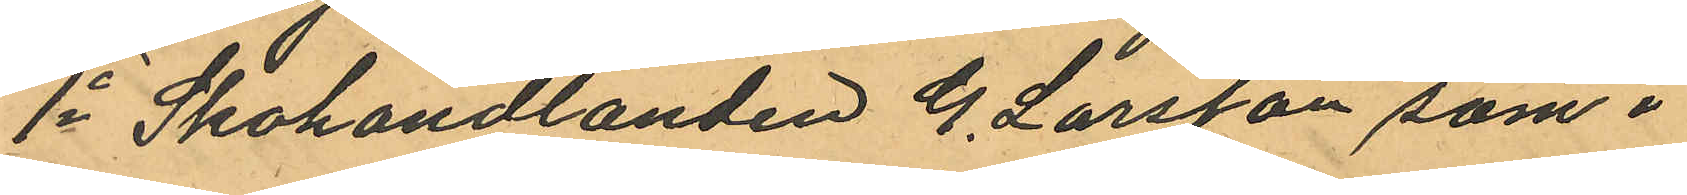1o Skohandlanden G. Larsson som i
